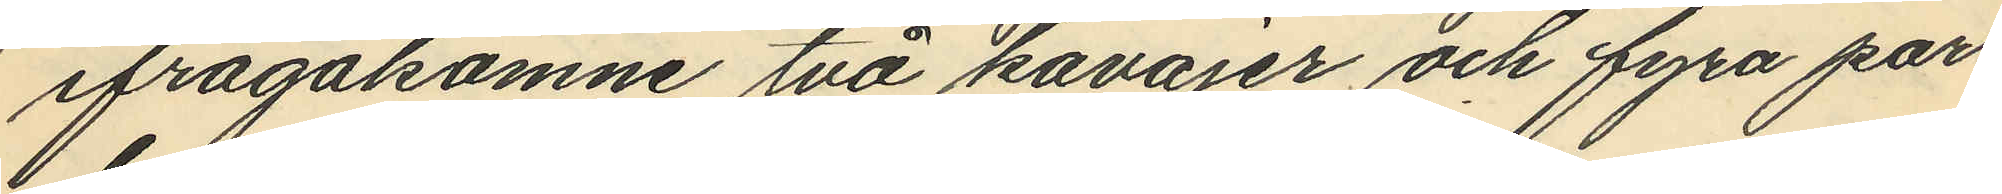ifrågakomne två kavajer och fyra par
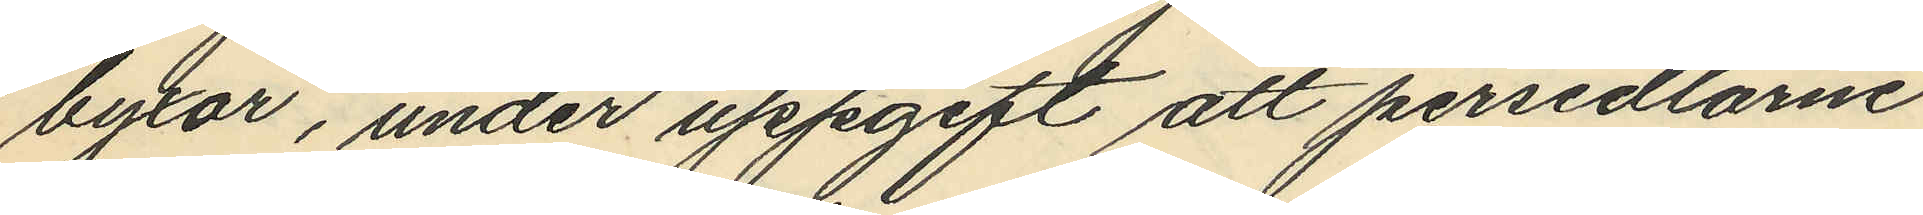byxor, under uppgift att persedlarne
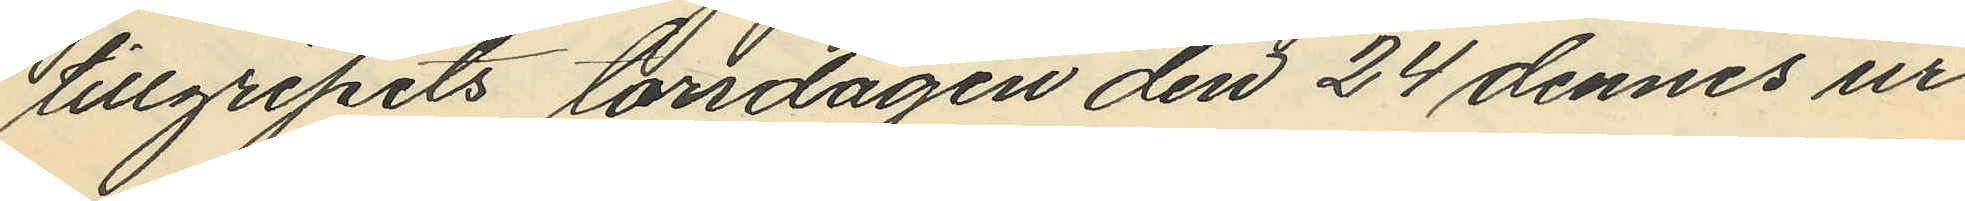tillgripits torsdagen den 24 dennes ur
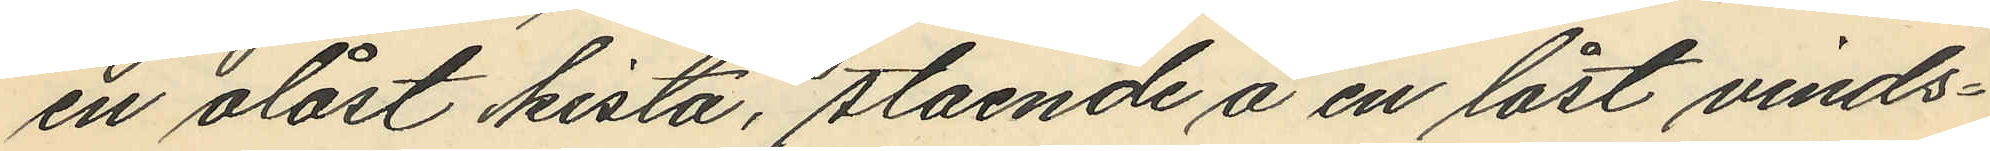en olåst kista, stående å en låst vinds¬
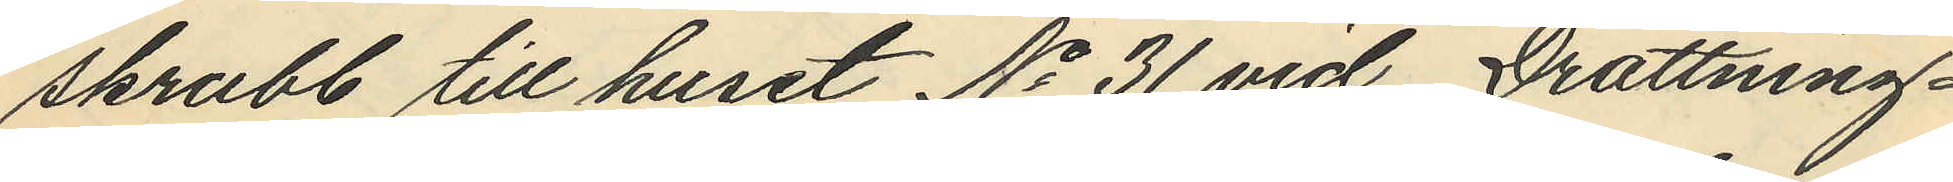skrubb till huset No 31 vid Drottning¬
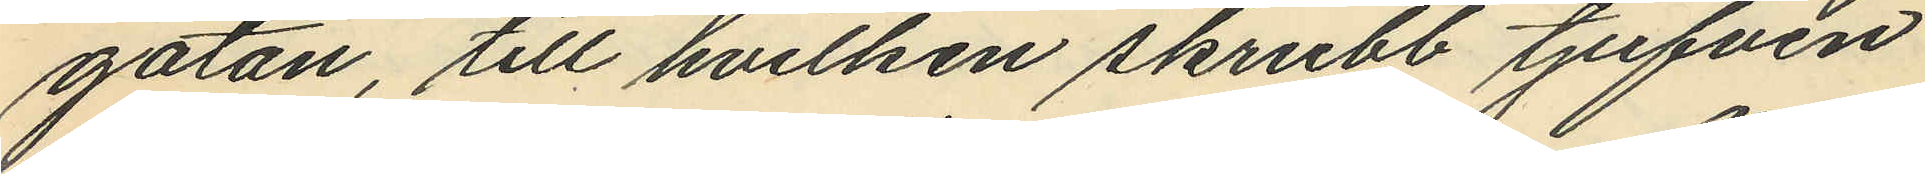gatan, till hvilken skrubb tjufven
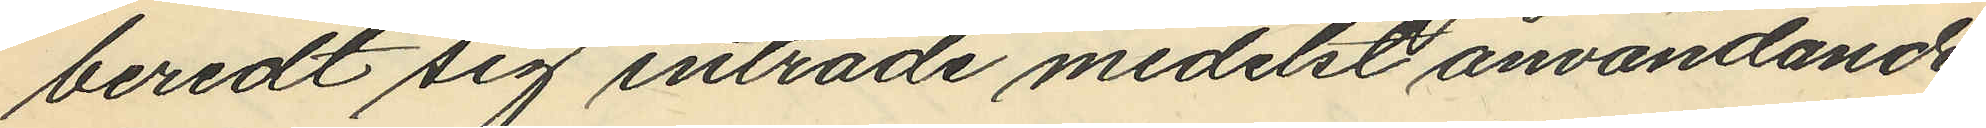beredt sig inträde medelst användande
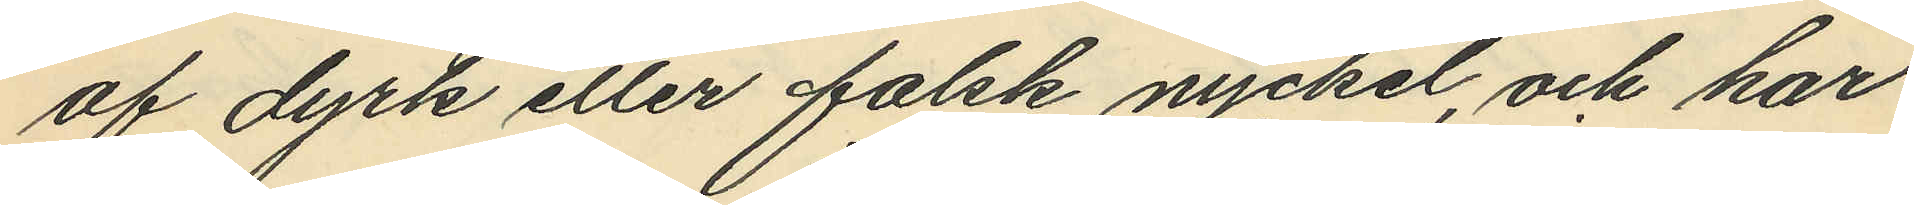af dyrk eller falsk nyckel, och har
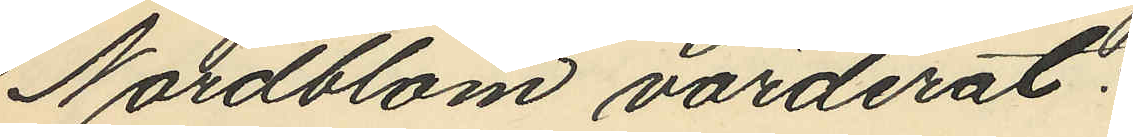Nordblom värderat:
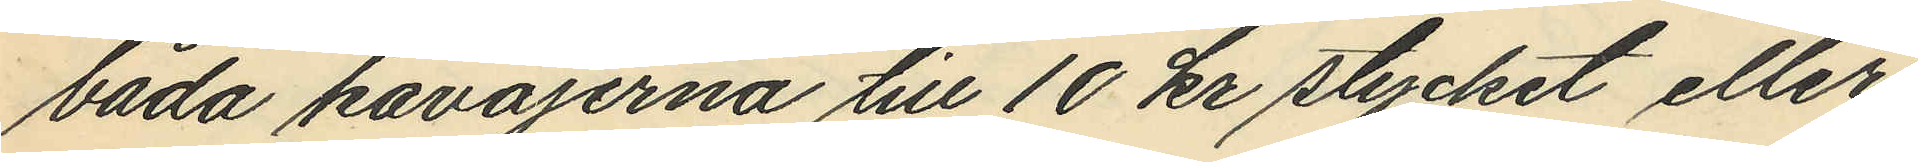båda kavajerna till 10 kr stycket eller
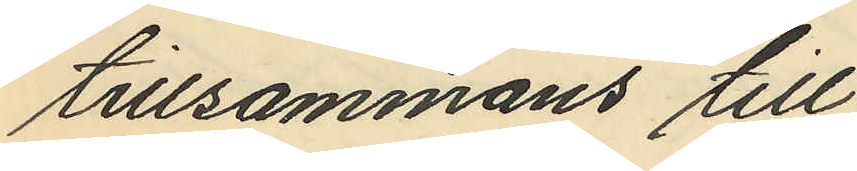tillsammans till
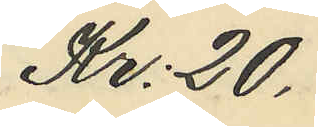Kr. 20.
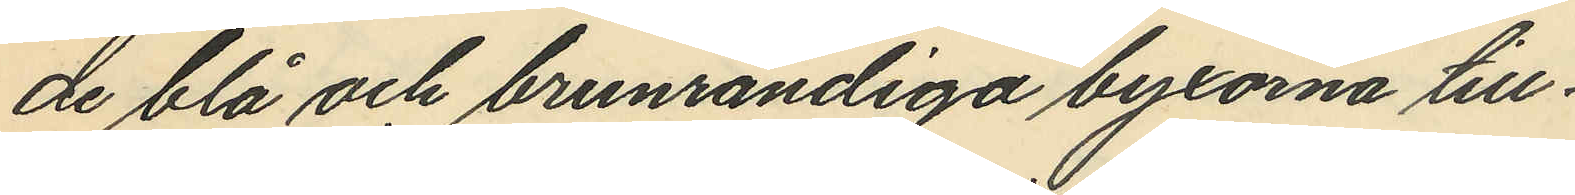de blå och brunrandiga byxorna till
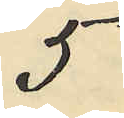5
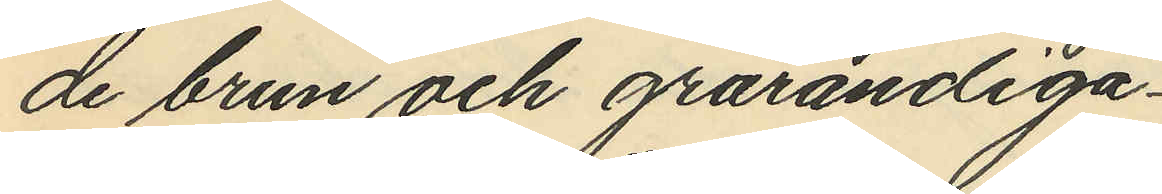de brun och grarandiga
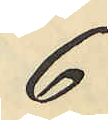6
